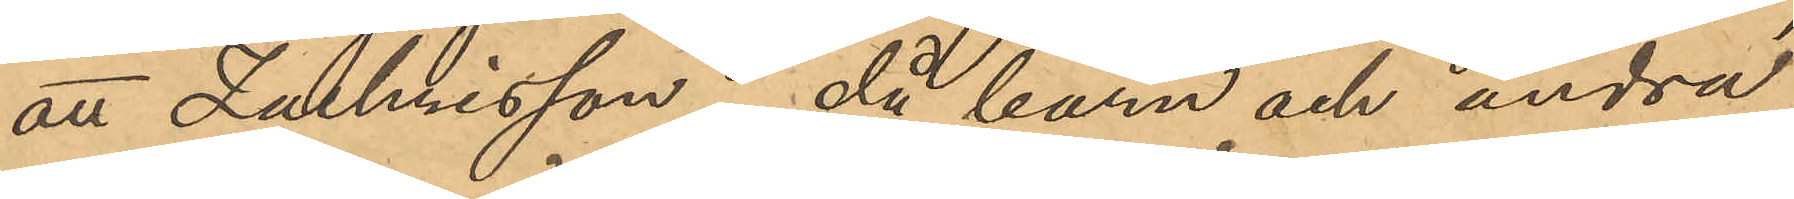att Zachrisson, då barn och andra
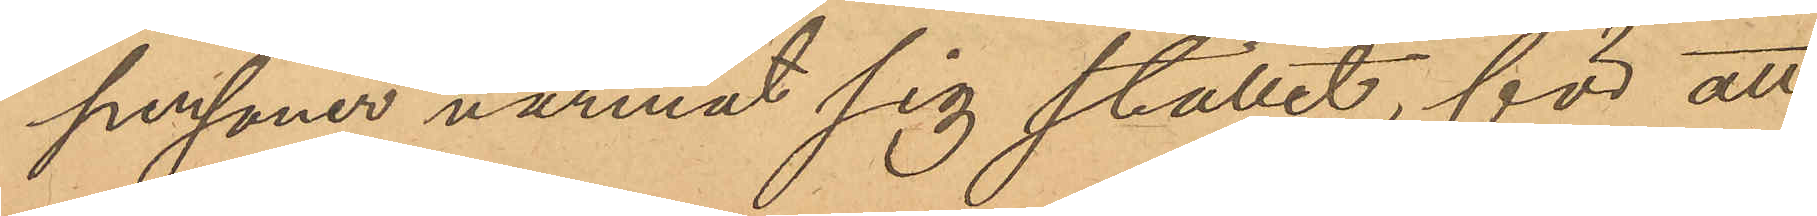personer närmat sig stället, för att
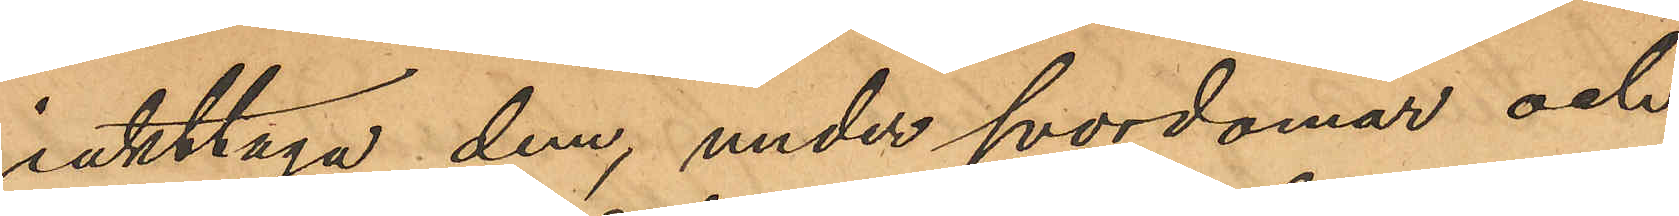iakttaga dem, under svordomar och
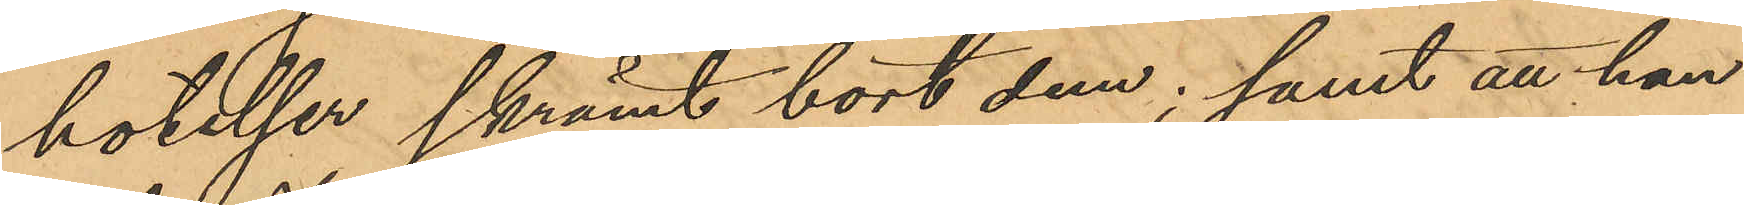hotelser skrämt bort dem; samt att han
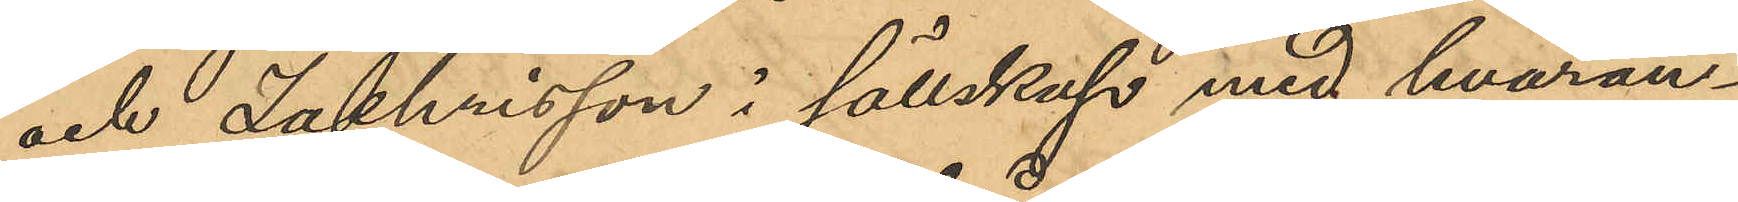och Zachrisson i sällskap med hvaran¬
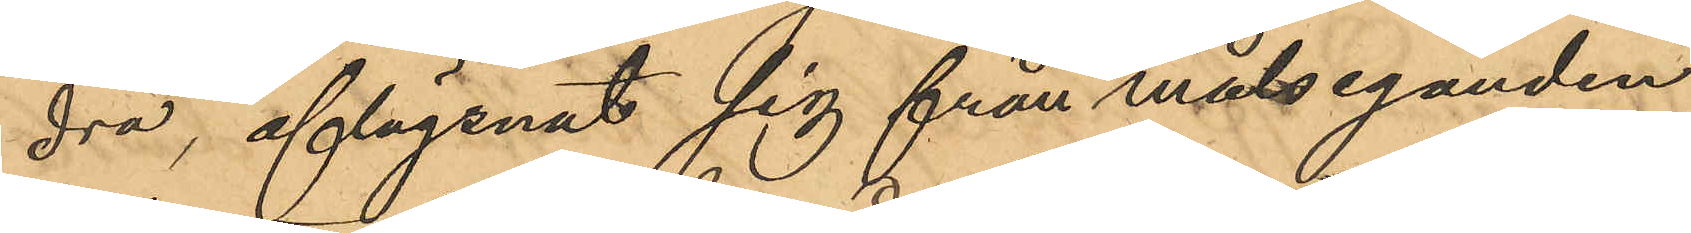dra, aflägsnat sig från målseganden
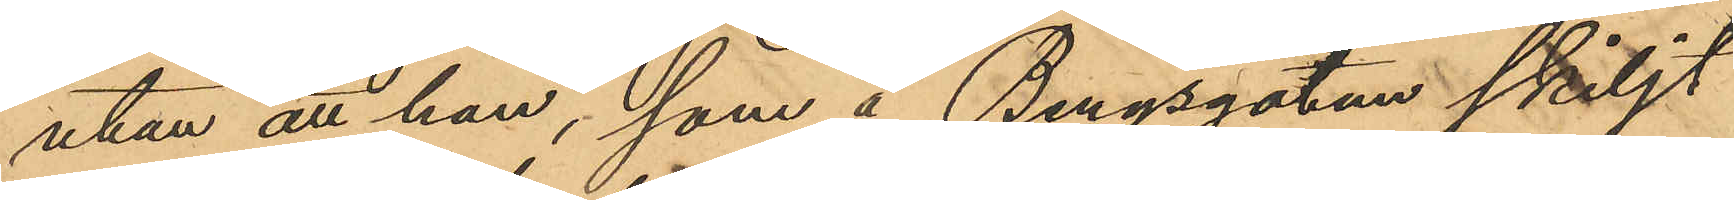utan att han, som å Bergsgatan skiljt
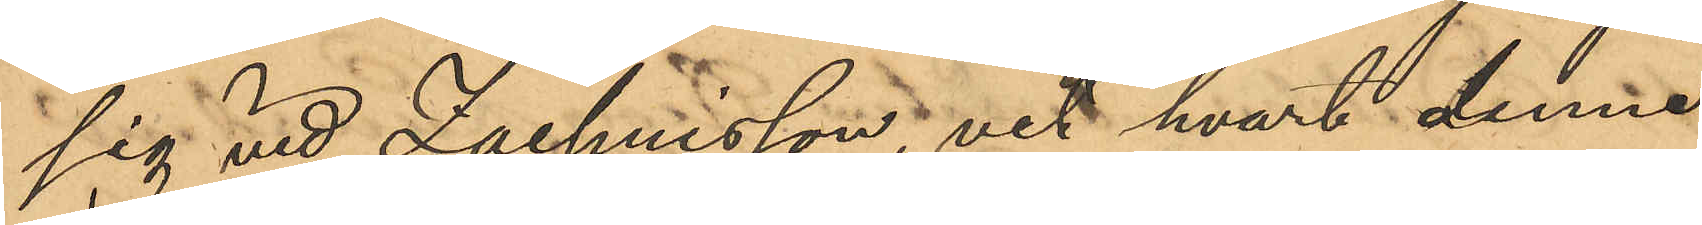sig vid Zachrisson, vet hvart denne
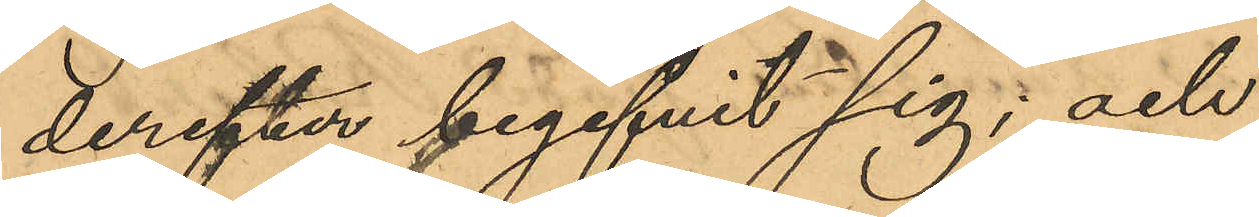derefter begifvit sig; och
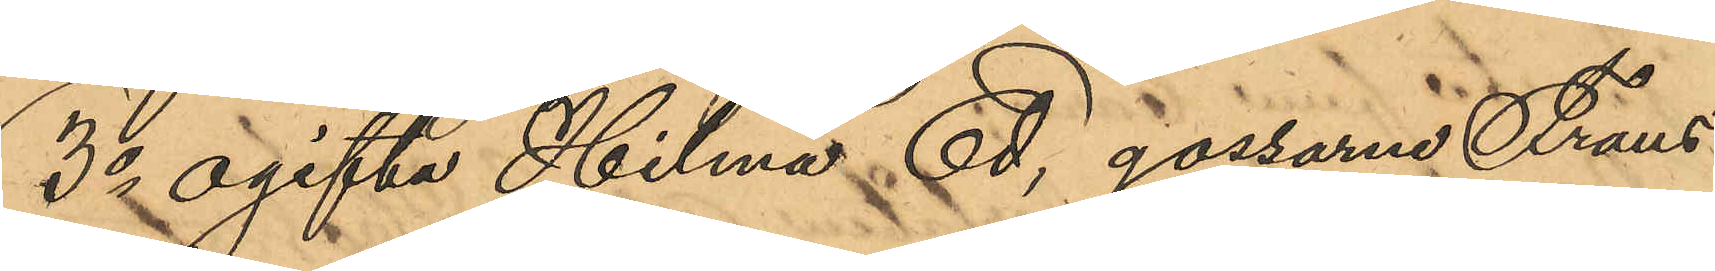3o ogifta Hilma Ed, gossarne Frans
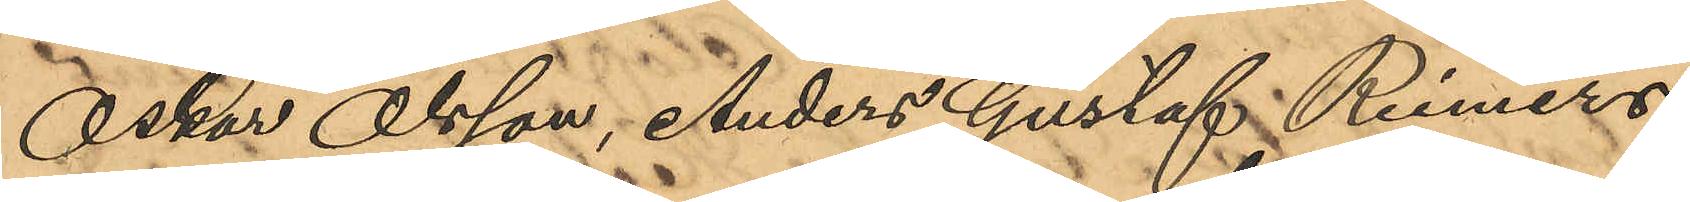Oskar Olsson, Anders Gustaf Reimers,
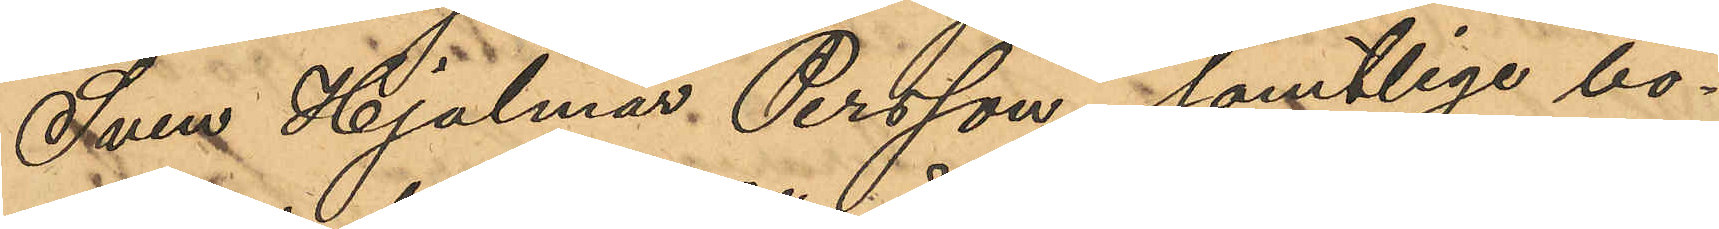Sven Hjalmar Persson, samtlige bo¬
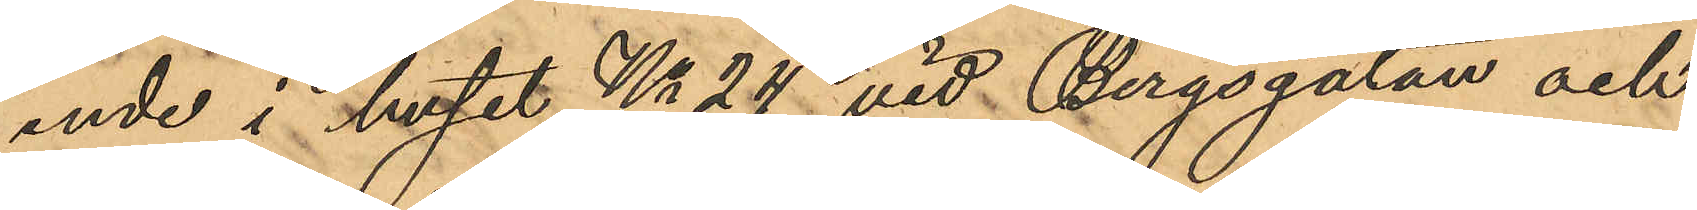ende i huset No 24 vid Bergsgatan och
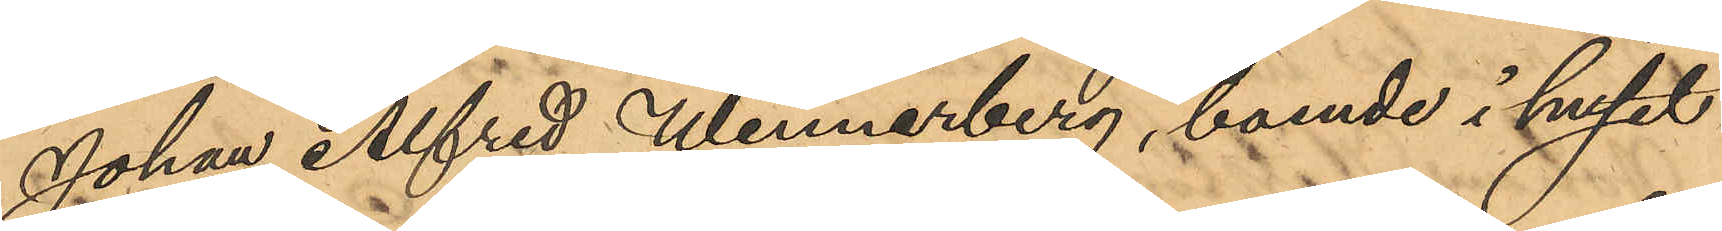Johan Alfred Wennerberg, boende i huset
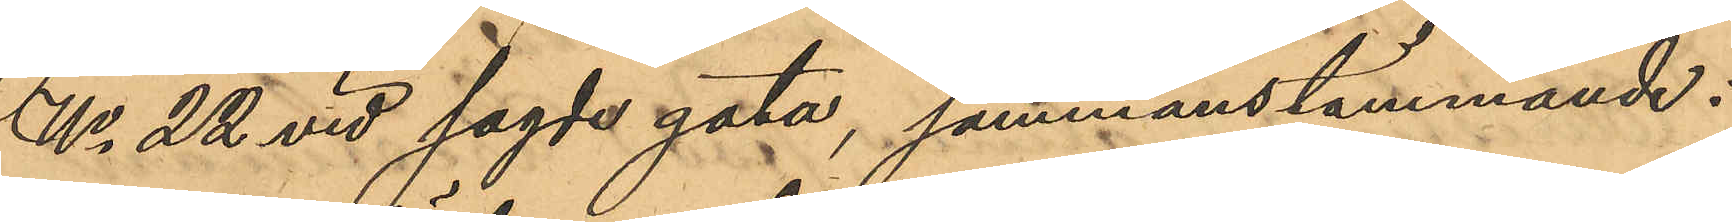No 22 vid sagde gata, sammanstämmande:
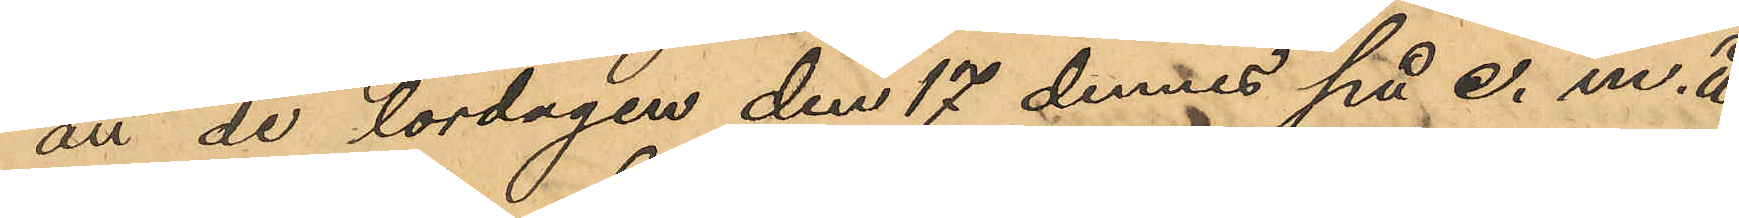att de lördagen den 17 dennes på e. m. å
